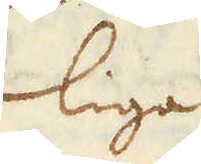liga
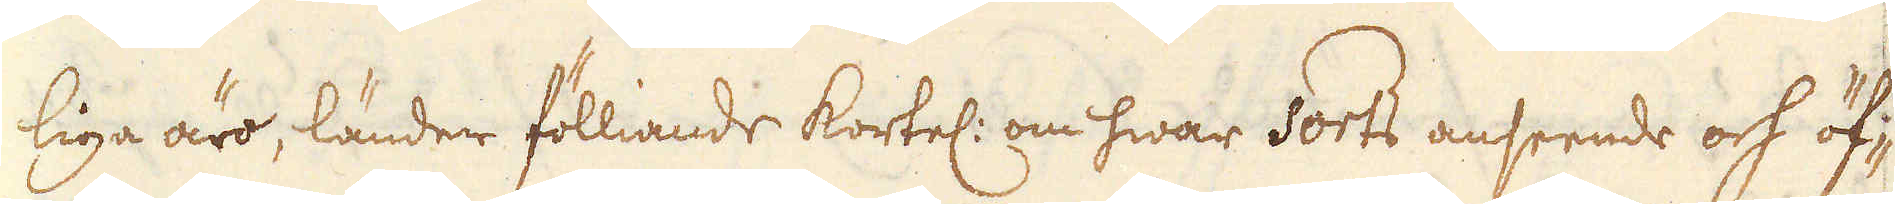liga äro, länder fölliande kortel: om hwar Sorts anseende och öf-
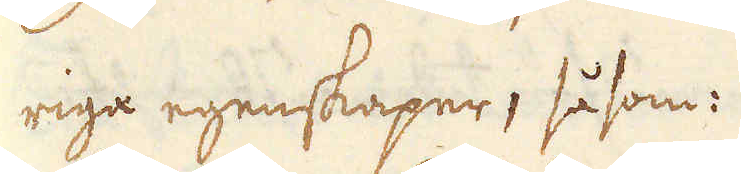riga egenskaper, såsom:
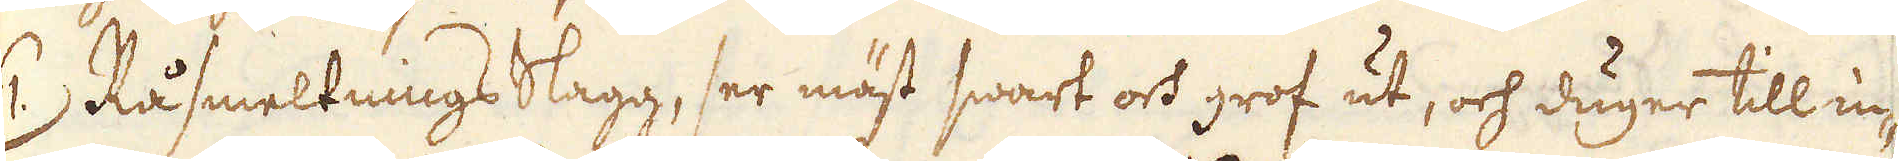1:) Rå smeltnings Slagg, ser mäst swart och grof ut, och duger till in-
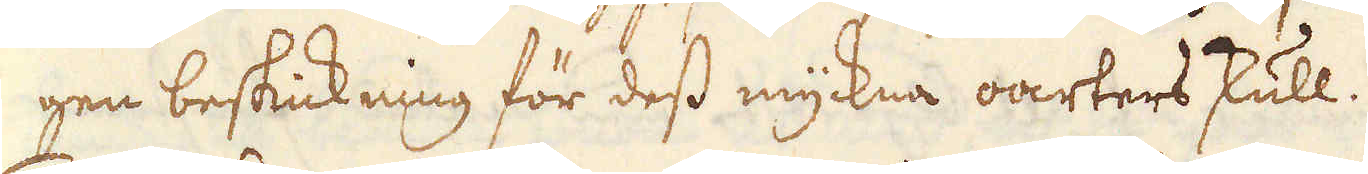gen beskickning för dess myckna oartersskull.
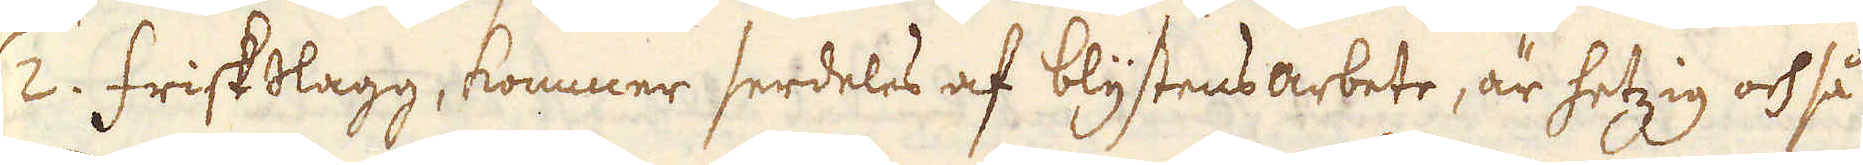2. friskslagg, kommer serdeles af blystensarbete, är hetzig och så
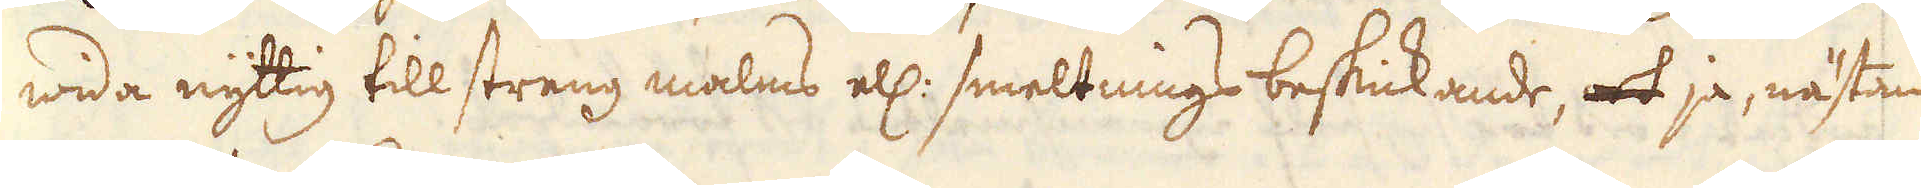wida nyttig till streng malms ell: smeltnings beskickande, och ja, nästan
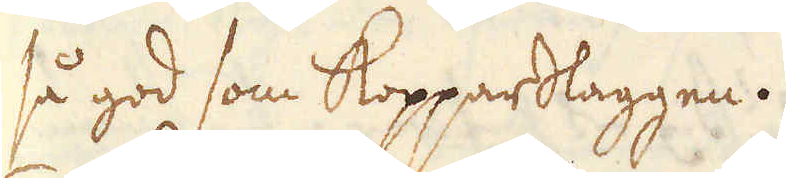så god som Kopparslaggen.
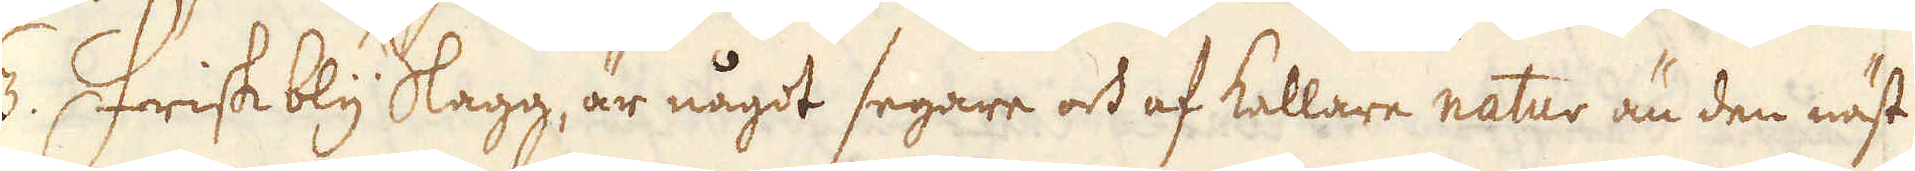3. Friskbly Slagg, är något segare och af kallare natur än den näst
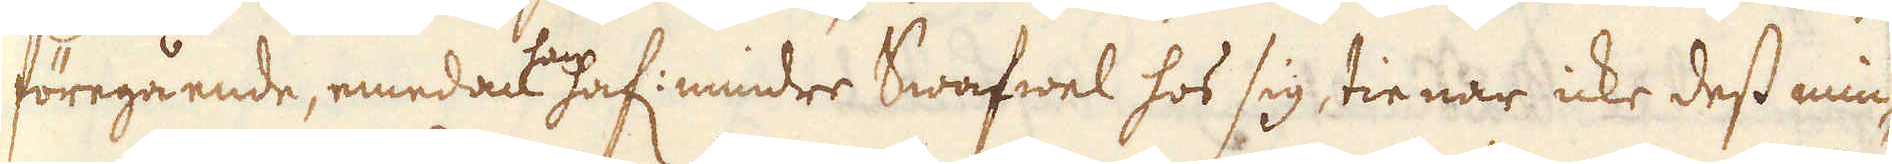föregående, emedact han haf: mindre Swafwel hos sig, tienar icke dess min-
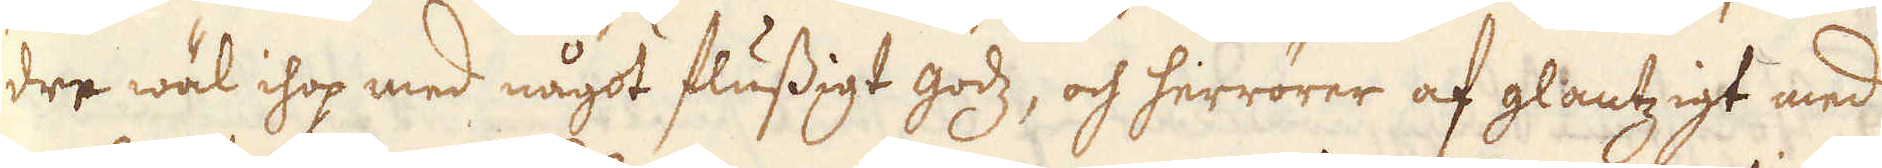dre wäl ihop med något flussigt godz, och herrörer af glantzigt med
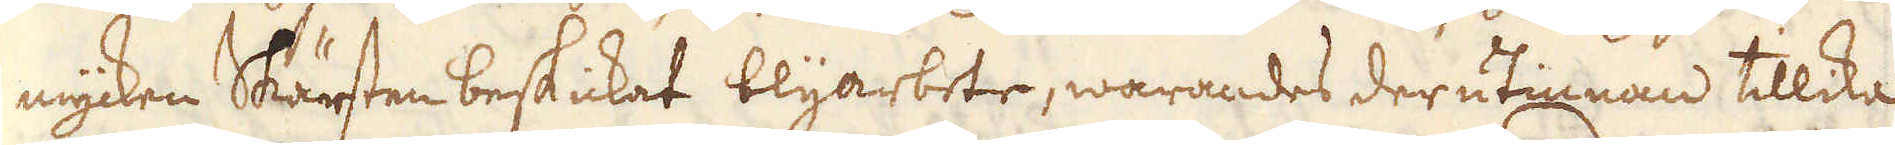mycken Skärsten beskickat blyarbete, warandes der utinnan tillika
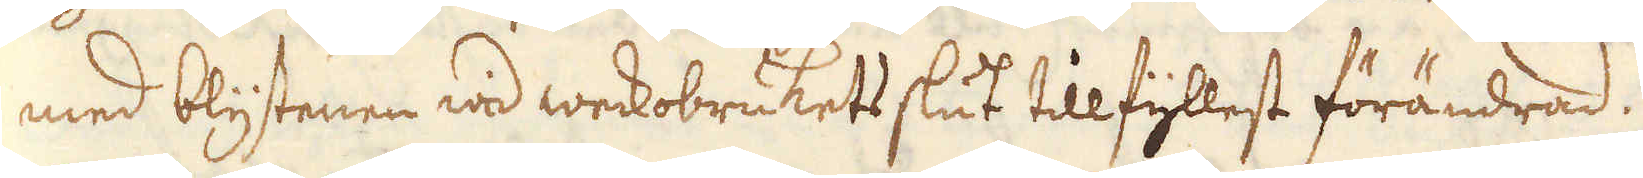med blystenen wid weckobrukets slut tillfyllest förändrad.
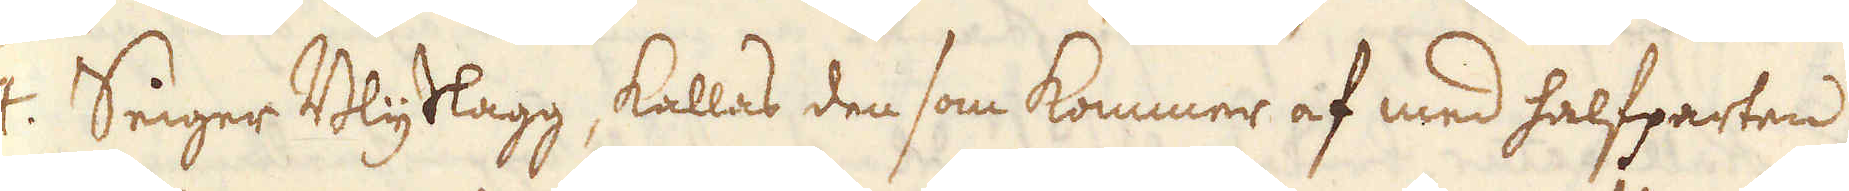4. Seiger Blyslagg, kallas den som kommer af med halfparten
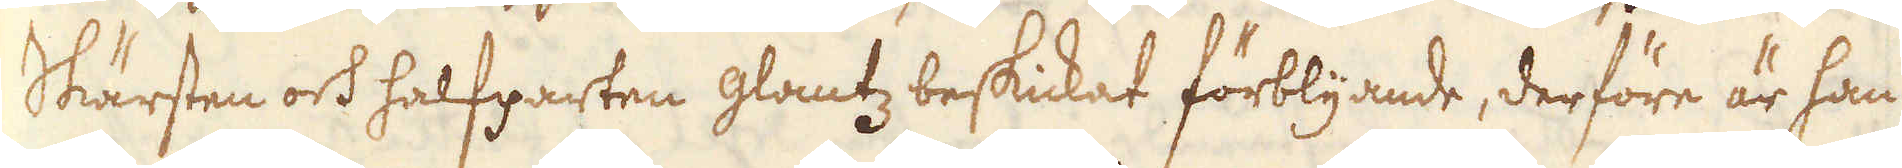Skärsten och halfparten glantz beskickat förblyande, derföre är han
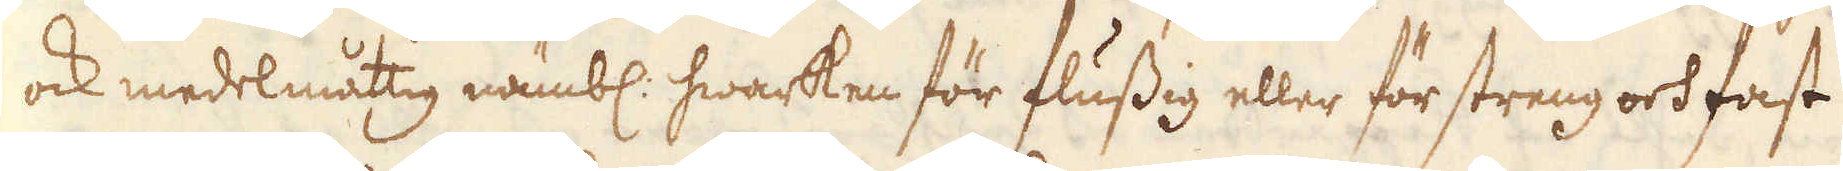ock medelmåttig nämbl: hwarken för flussig eller för streng och fast
